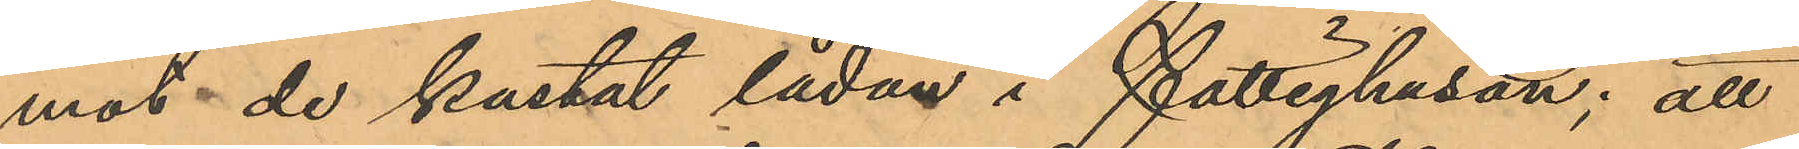mot de kastat lådan i Fattighusån; att
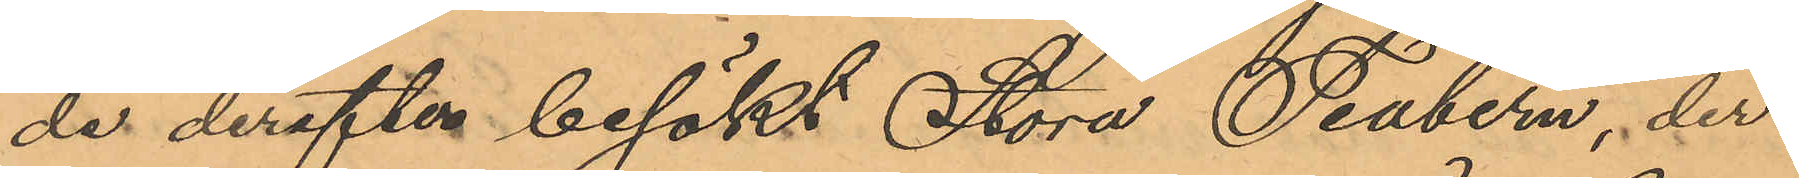de derefter besökt Stora Teatern, der
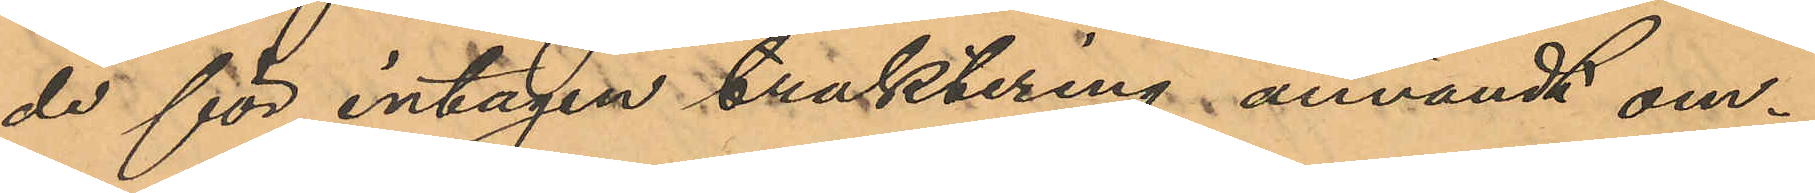de för intagen traktering användt om¬
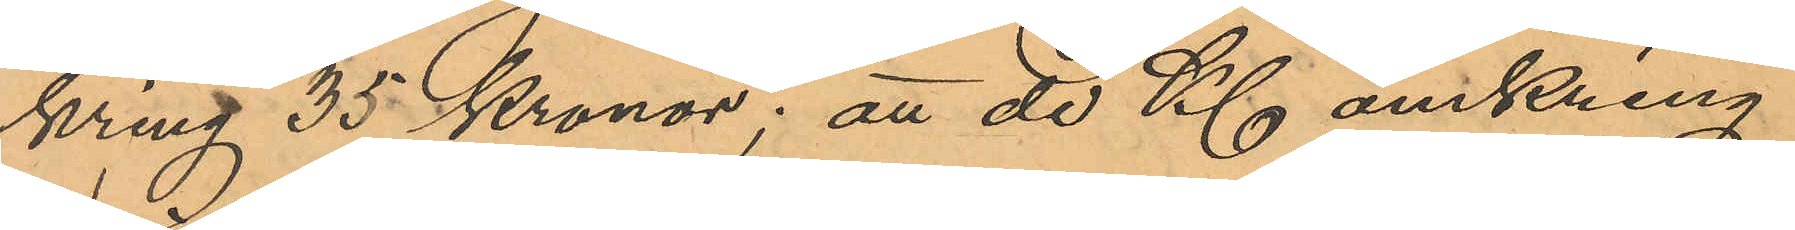kring 35 kronor; att de Kl. omkring
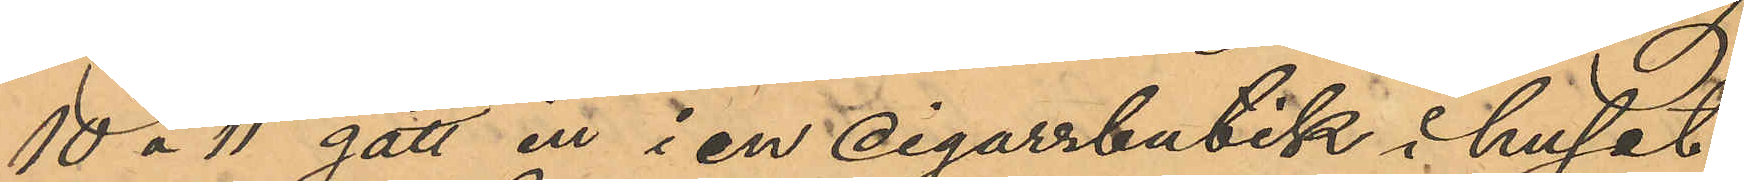10 o 11 gått in i en cigarrbutik i huset
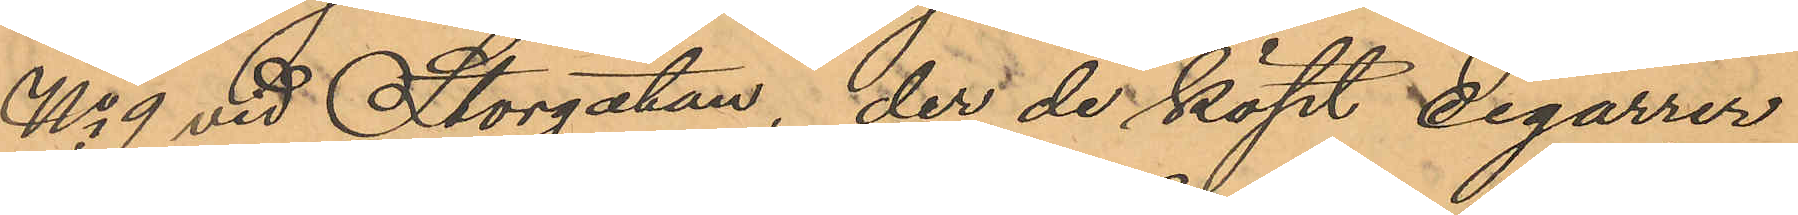No 9 vid Storgatan, der de köpt cigarrer
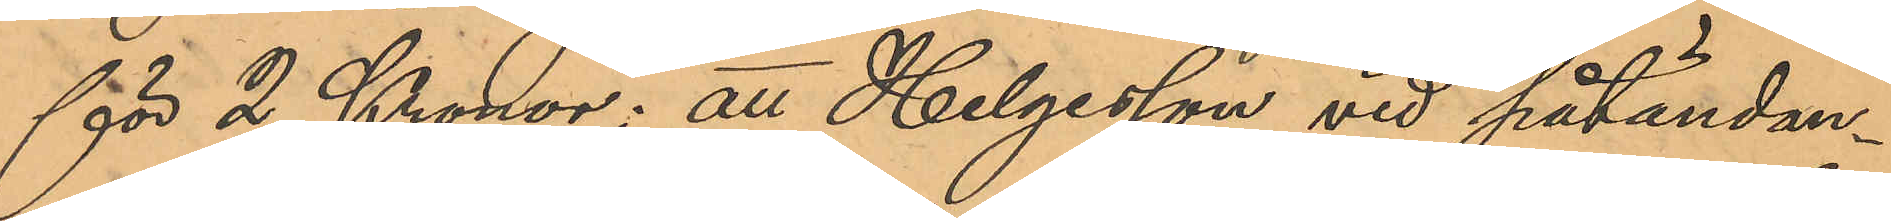för 2 Kronor; att Helgesson vid påtändan¬
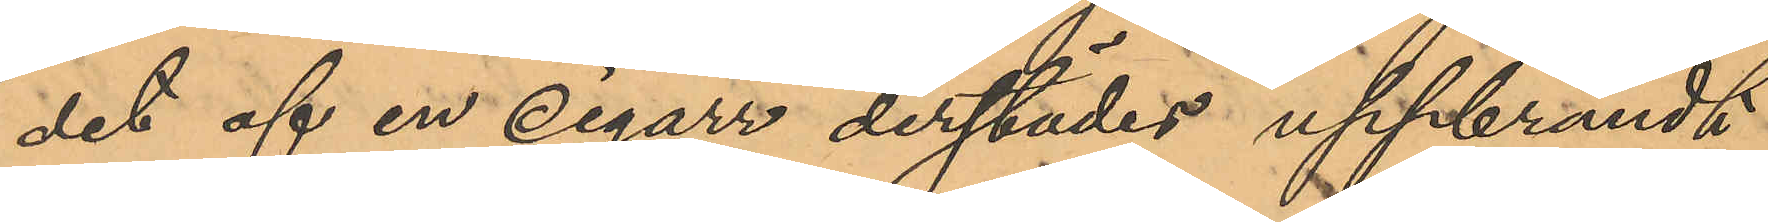det af en cigarr derstädes uppbrändt
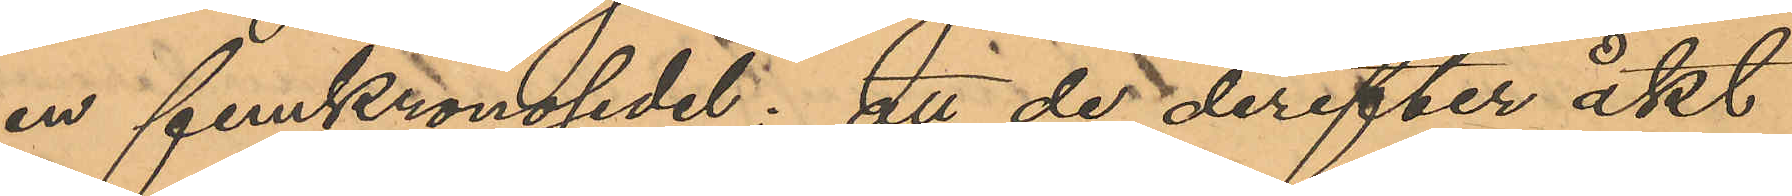en femkronosedel; att de derefter åkt
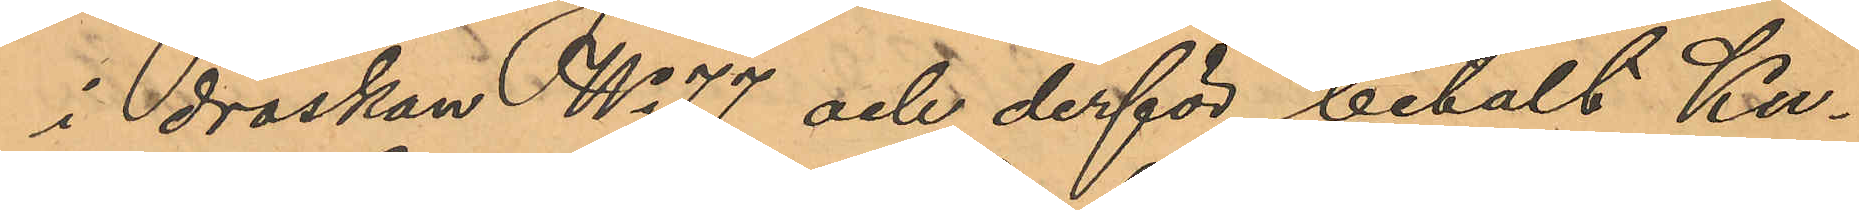i droskan No 77 och derför betalt Ku¬
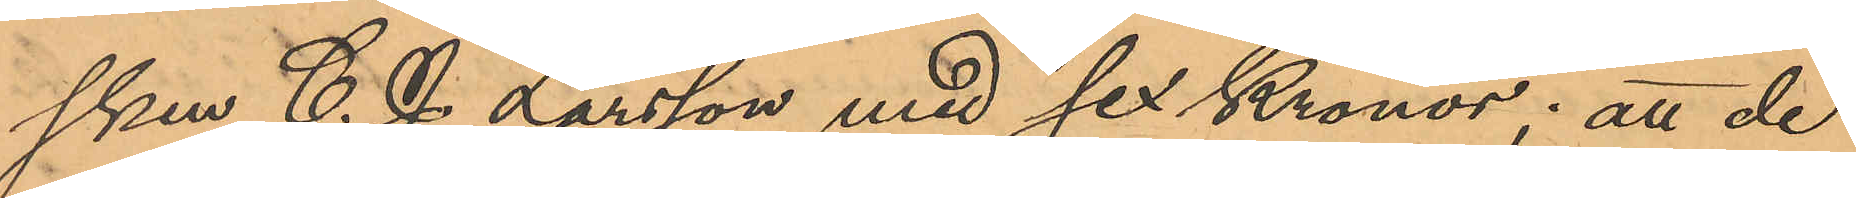sken C. J. Larsson med sex Kronor; att de
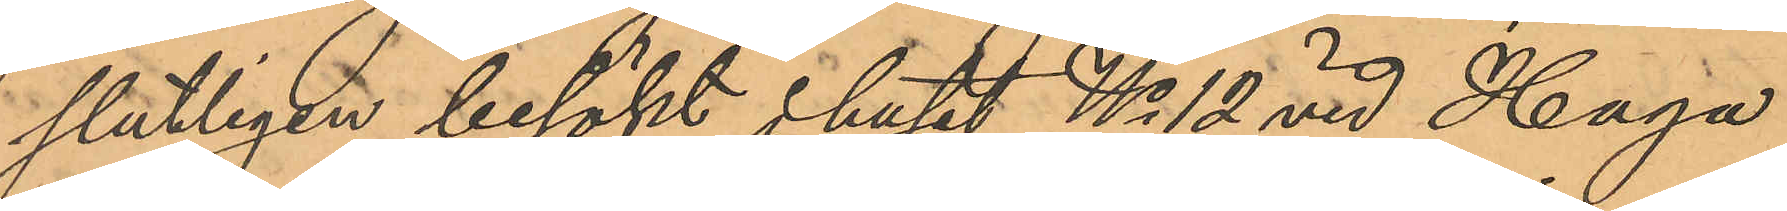slutligen besökt i huset No 12 vid Haga
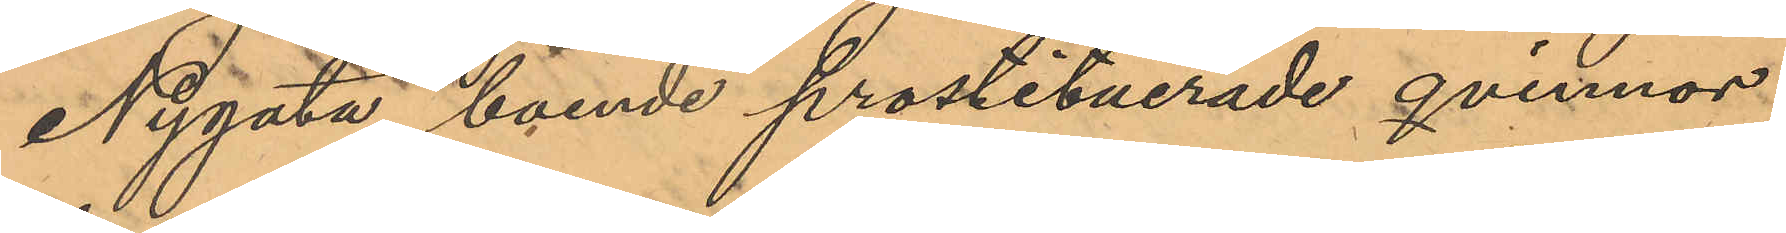Nygata boende prostituerade qvinnor,
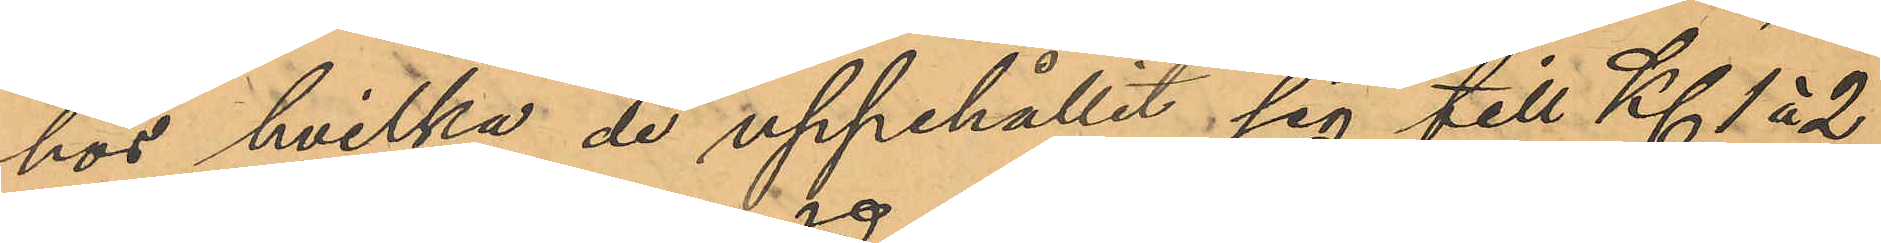hos hvilka de uppehållit sig till Kl. 1 á 2
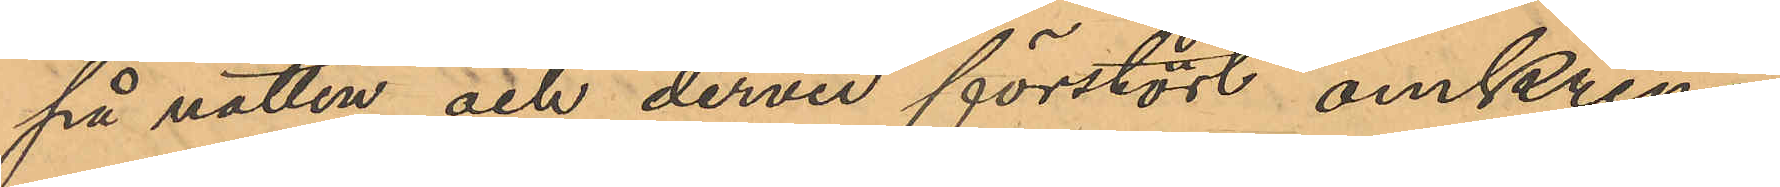på natten och dervid förstört omkring
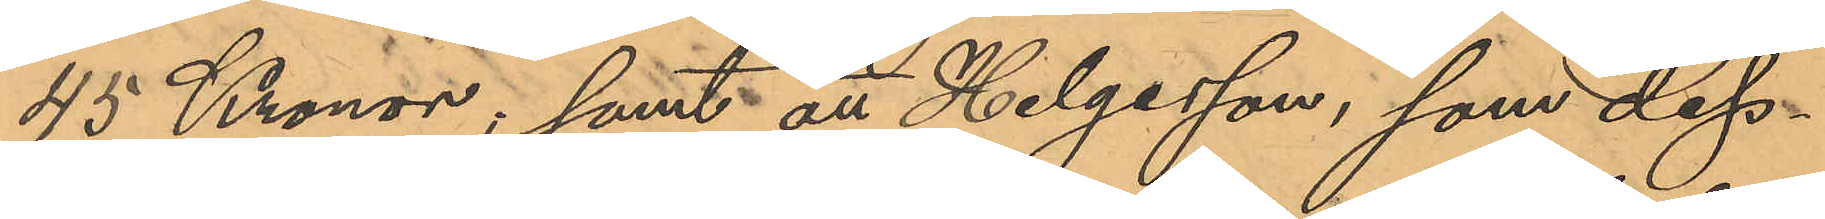45 Kronor; samt att Helgesson, som dess¬
